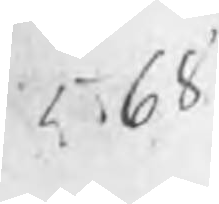568
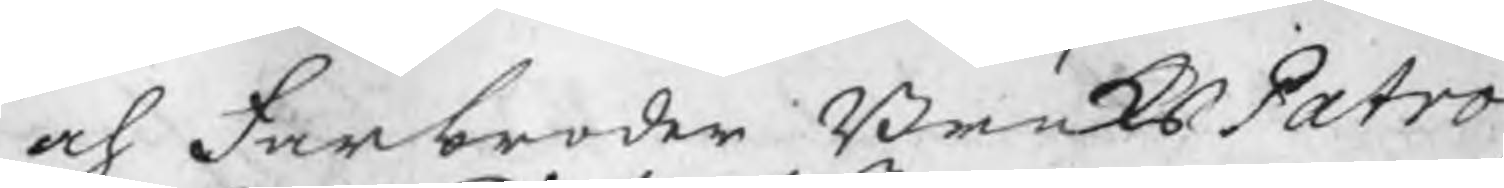och Farbroder BruksPatro
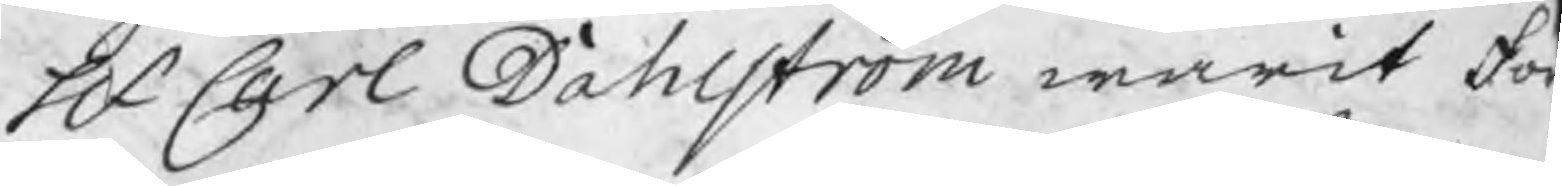Hr Carl Dahlström warit för
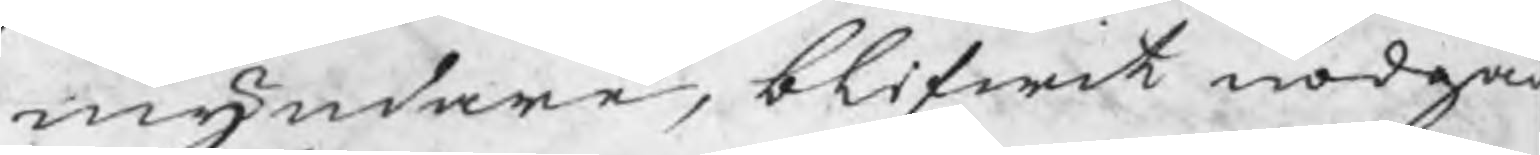myndare, blifwit nödgad
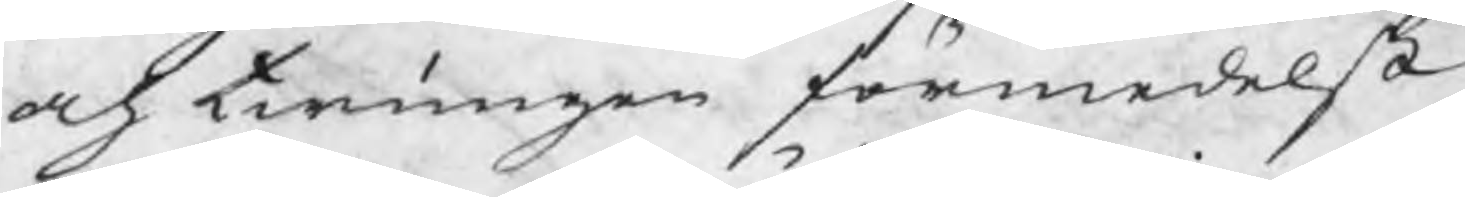och twungen förmedelst
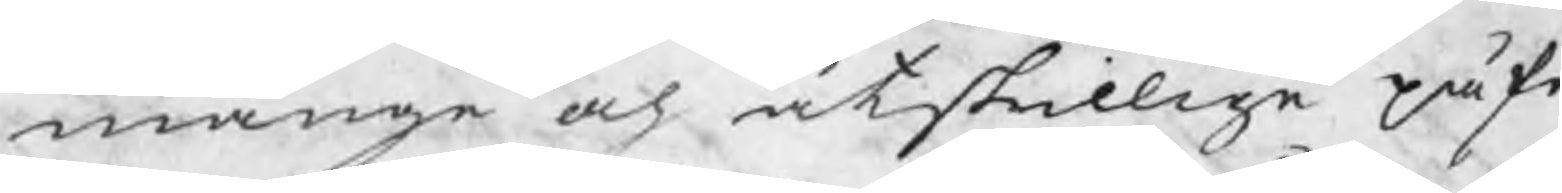månge och åtskillige påfö
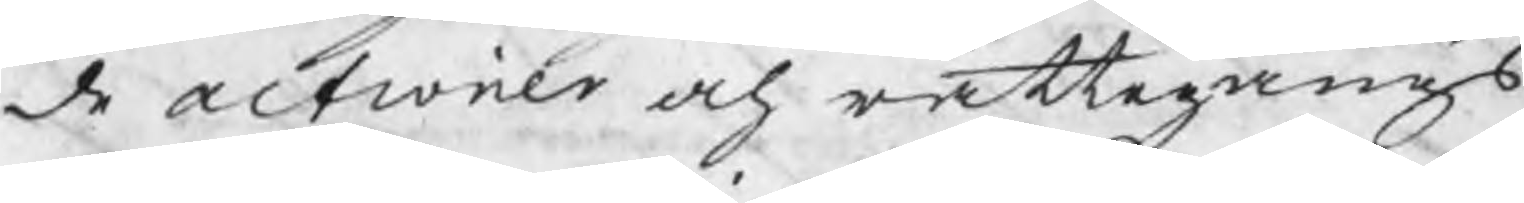de actioner och rättegångs
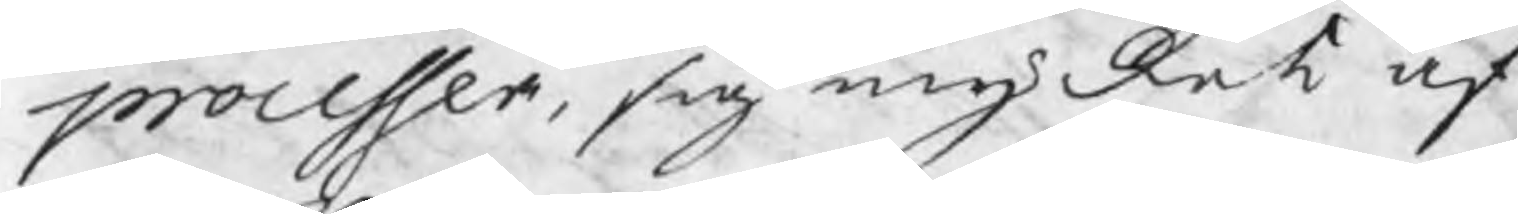processer, sig mycket af
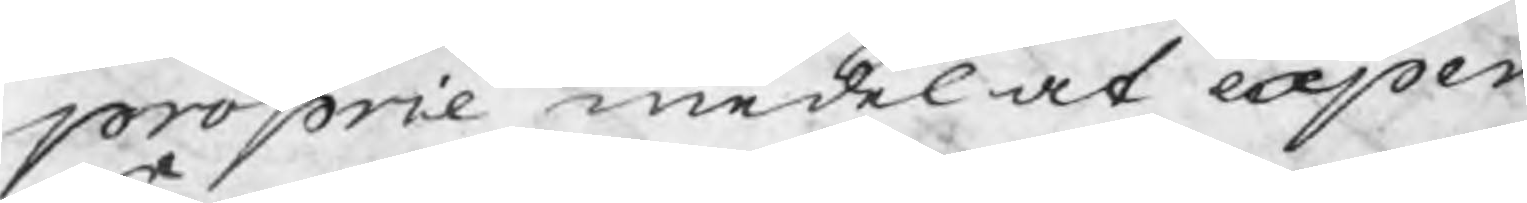proprie medel at expen¬
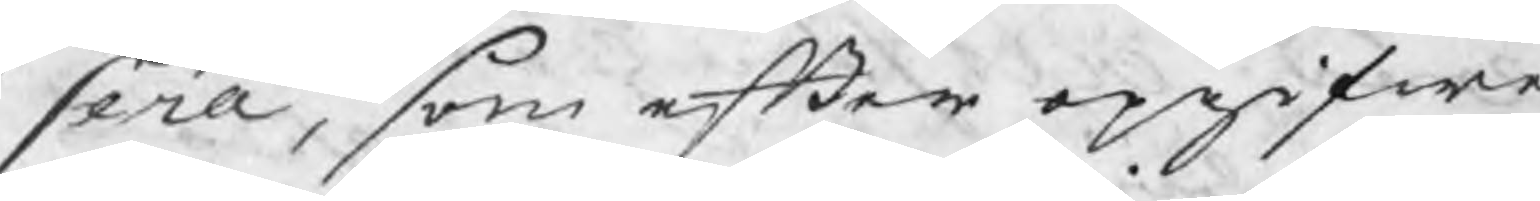sera, som efter opgifwe
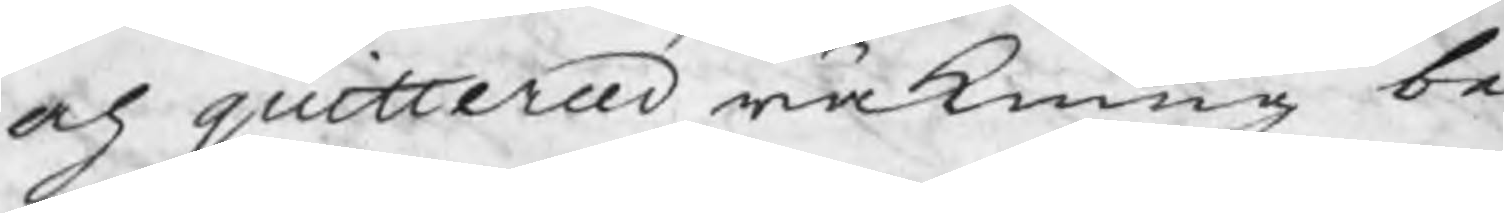och quitterad räkning be¬
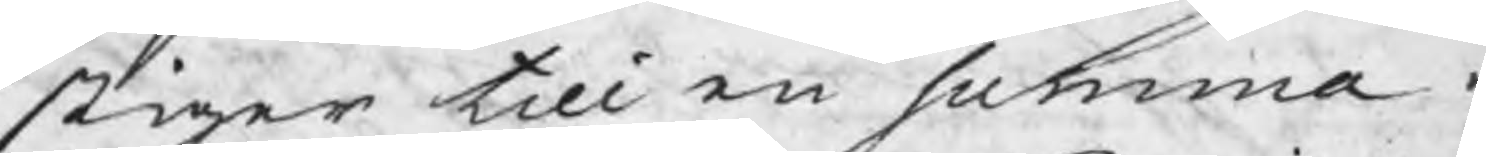stiger till en summa a
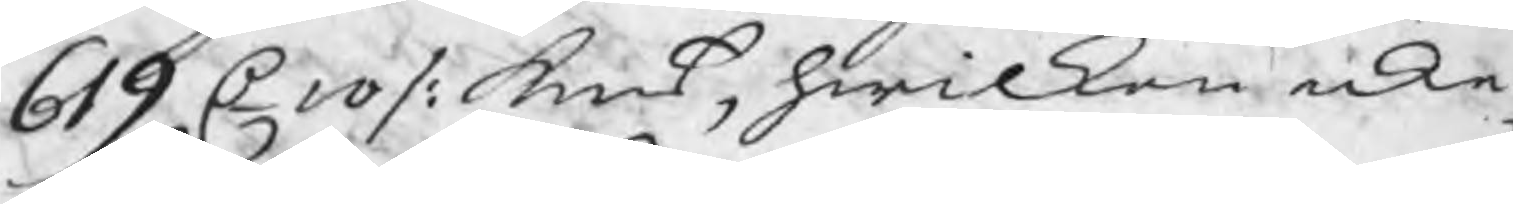619 C 10 /: kmt, hwilken icke
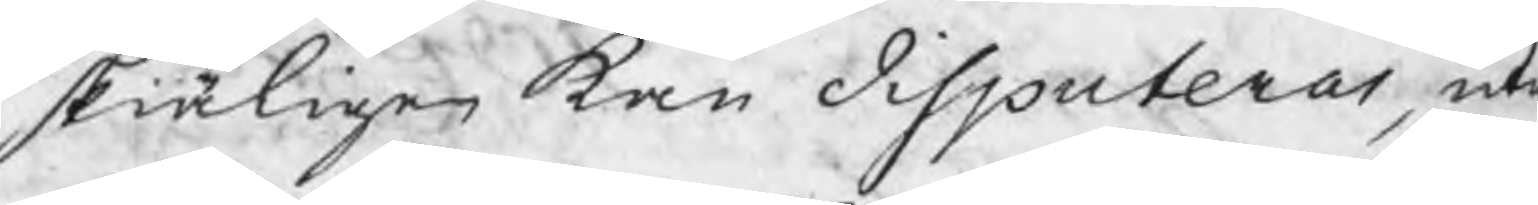skiäligen kan disputeras, uta
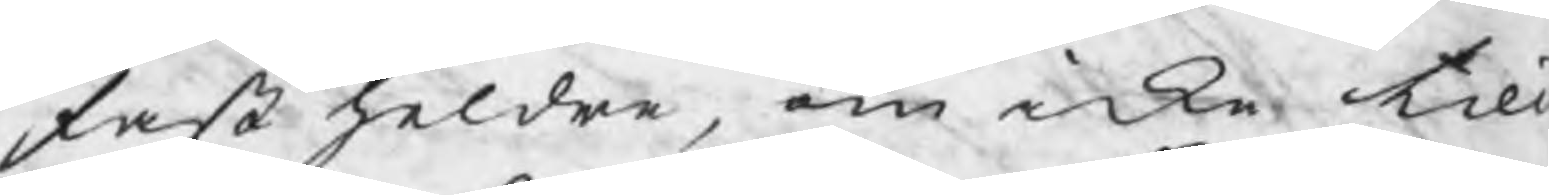fast heldre, om icke till
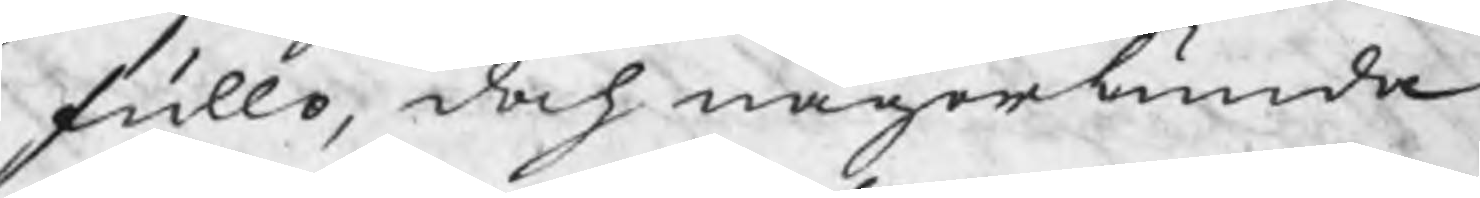fullo, doch någorlunda
